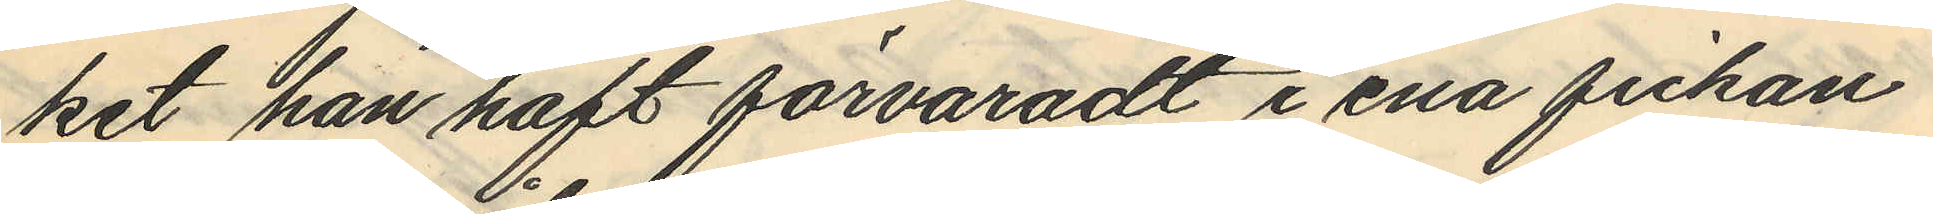ket han haft förvaradt i ena fickan
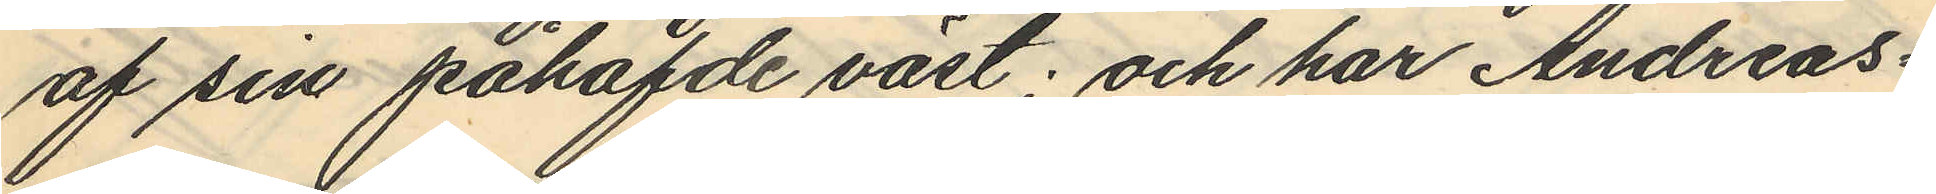af sin påhafvde väst; och har Andreas¬
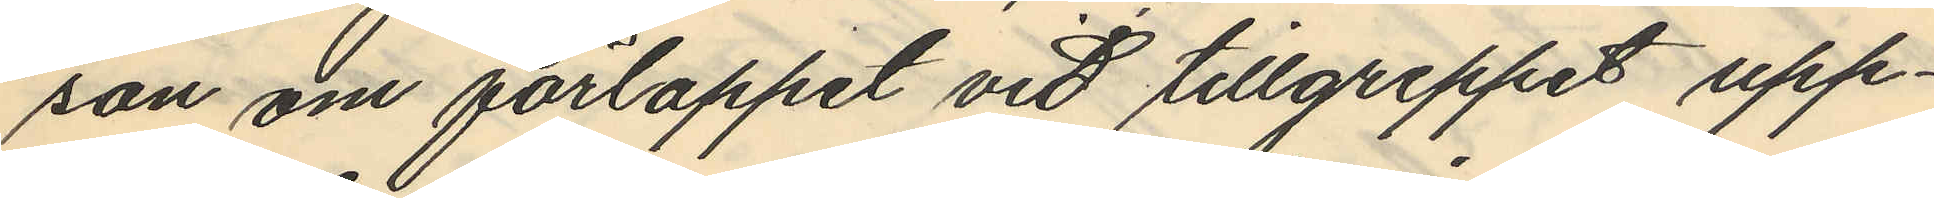son om förloppet vid tillgreppet upp¬
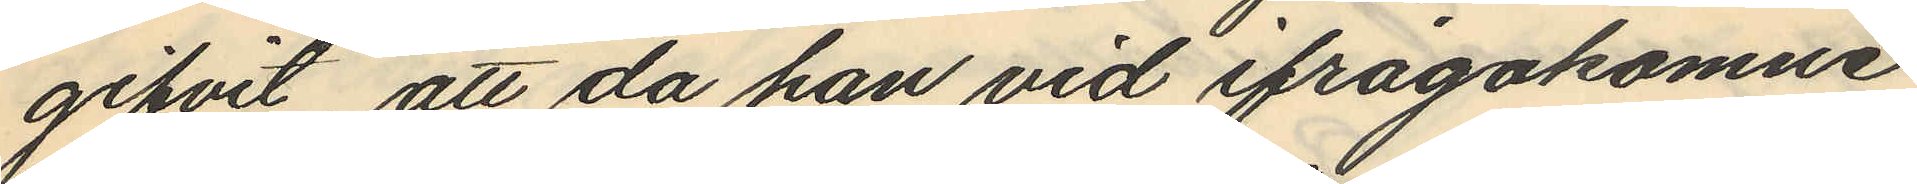gifvit, att da han vid ifrågakomne
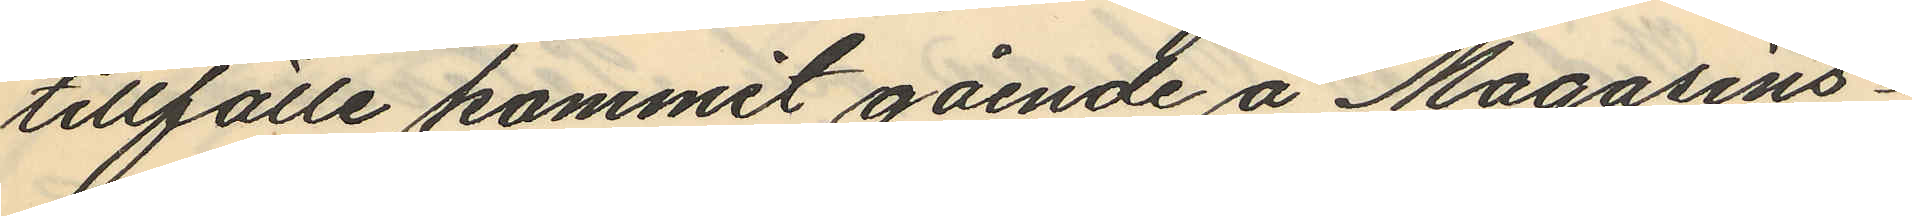tillfälle kommit gående å Magasins¬
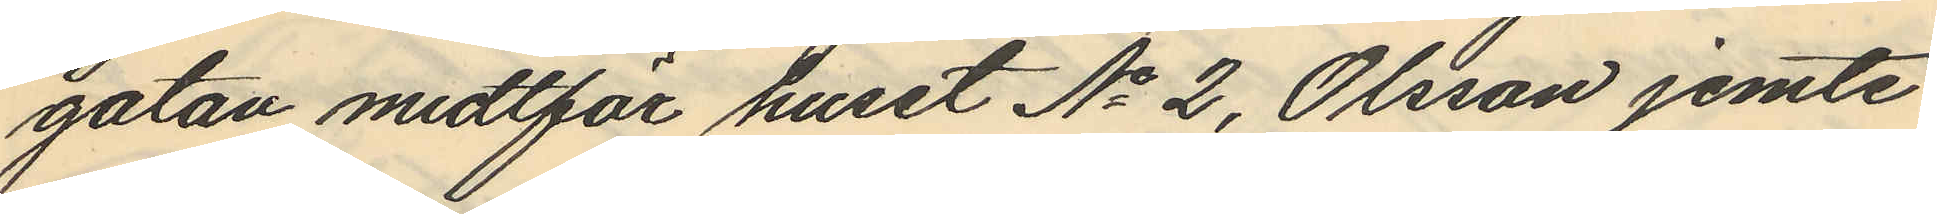gatan midtför huset No 2, Olsson jemte
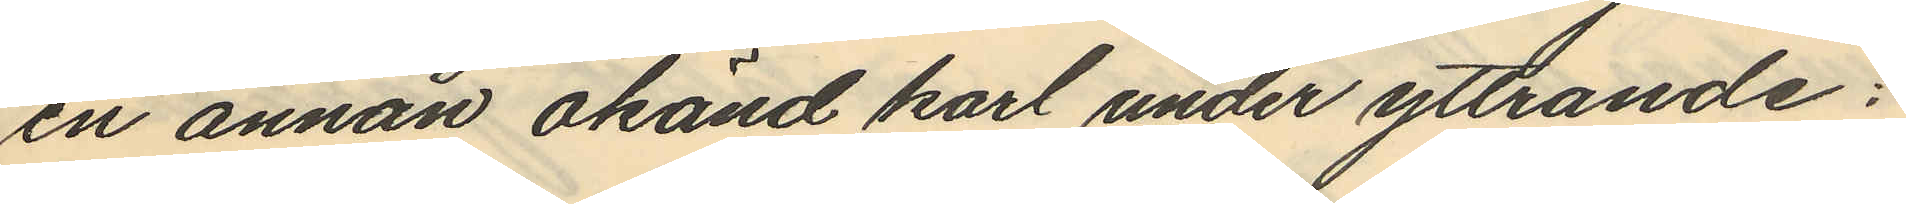en annan okänd karl under yttrande:
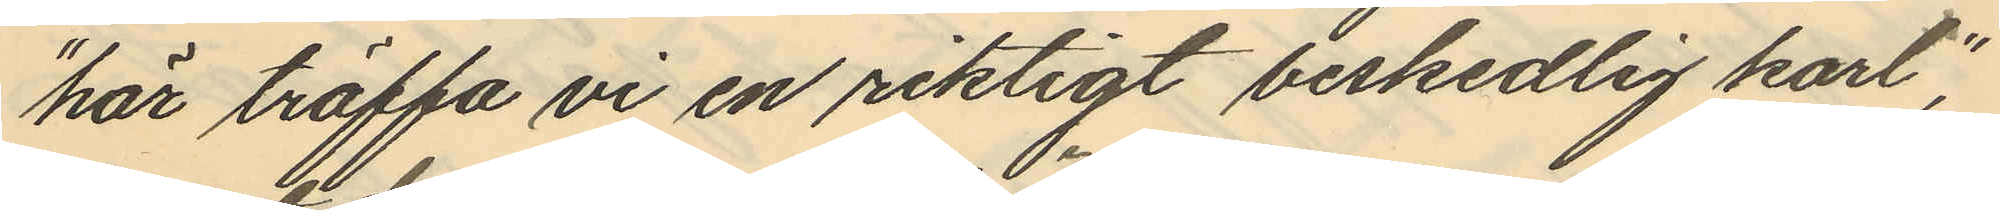"här träffa vi en riktigt beskedlig karl";
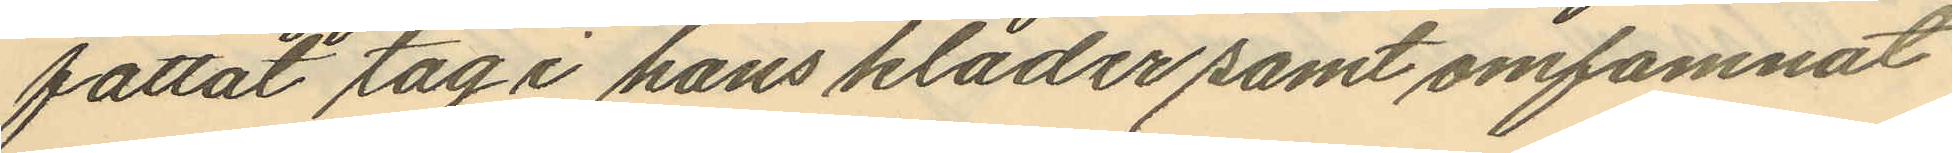fattat tag i hans kläder samt omfamnat
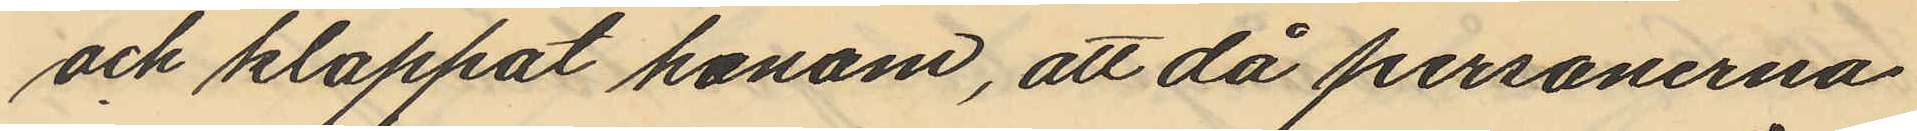och klappat honom, att då personerna
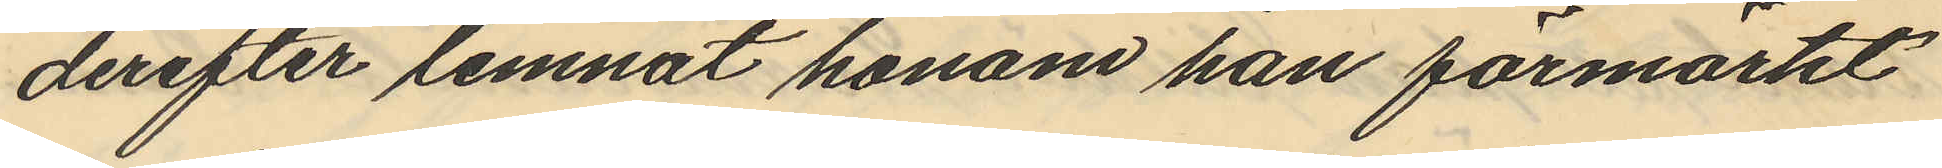derefter lemnat honom han förmärkt
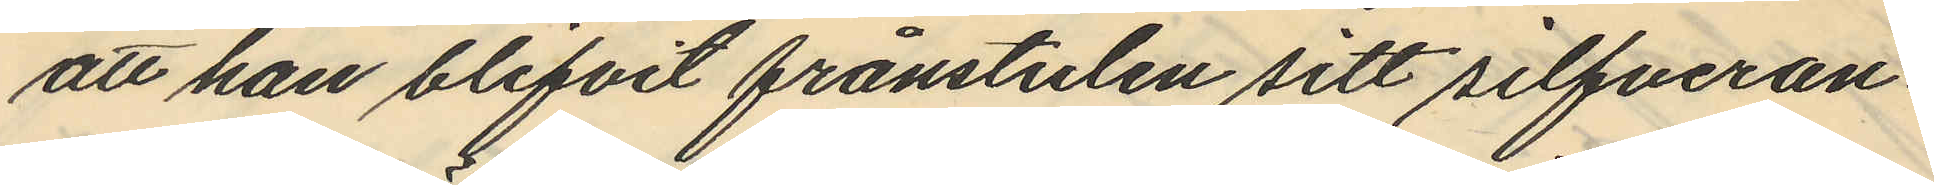att han blifvit frånstulen sitt silfveran¬
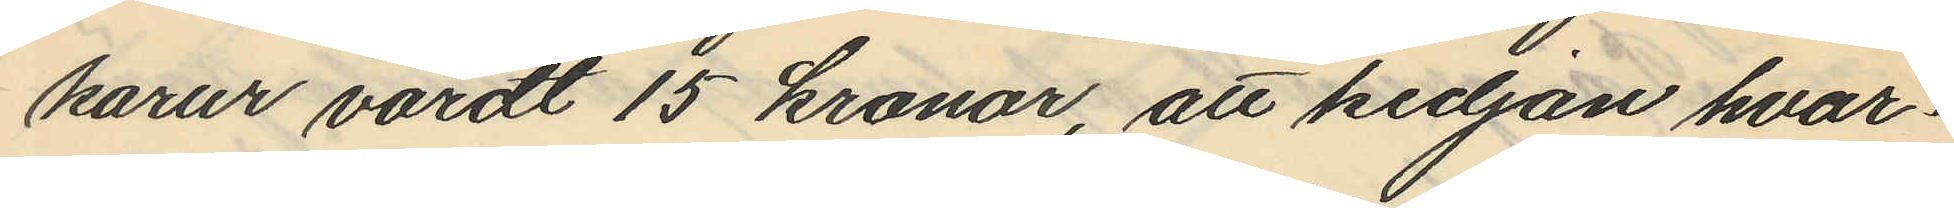karur värdt 15 kronor, att kedjan hvar¬
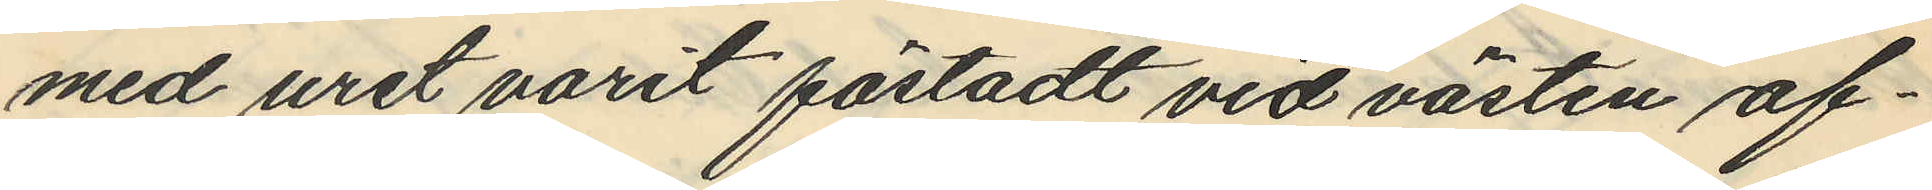med uret varit fästadt vid västen af¬
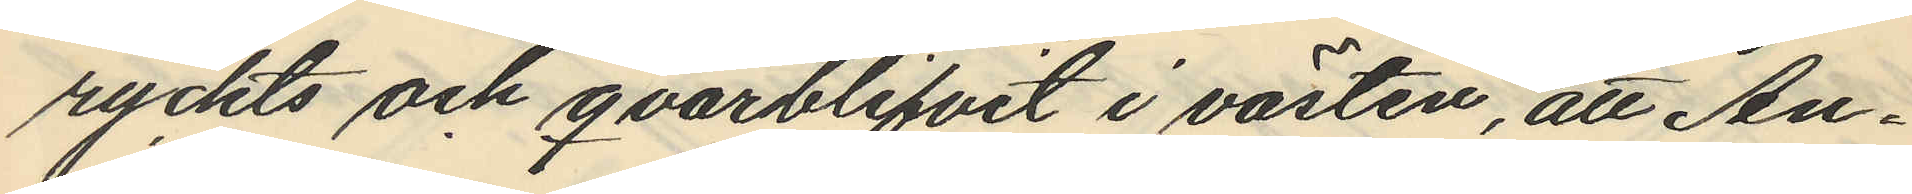ryckts och qvarblifvit i västen, att An¬
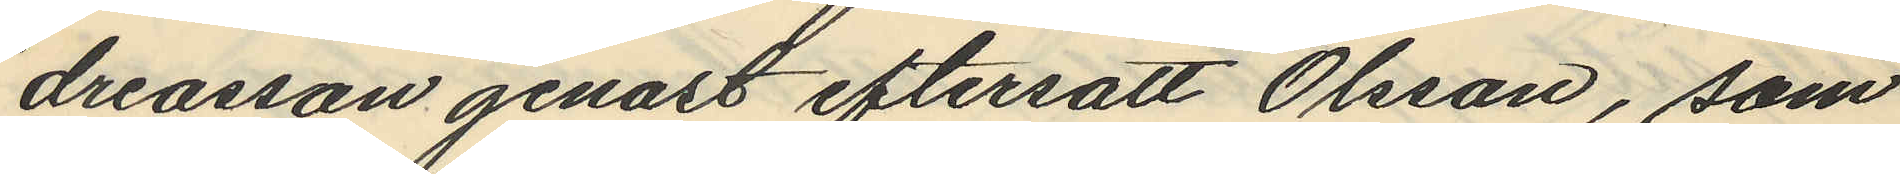dreasson genast eftersatt Olsson, som
